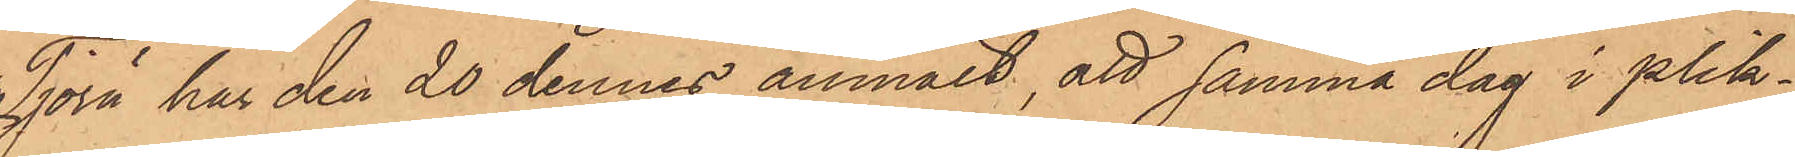Tjörn har den 20 dennes anmält, att samma dag i plik¬
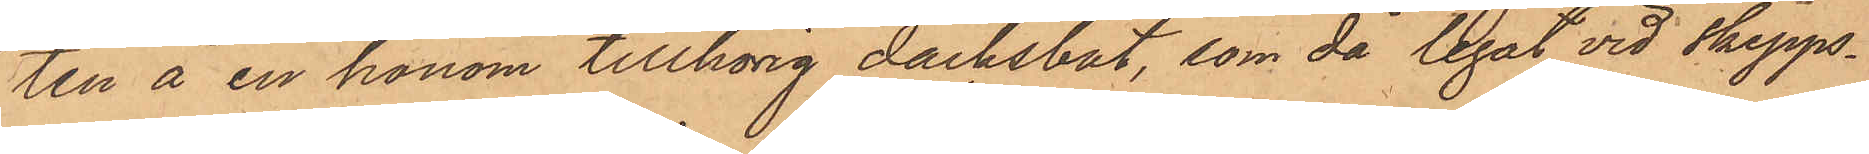ten å en honom tillhörig däcksbåt, som då legat vid Skepps¬
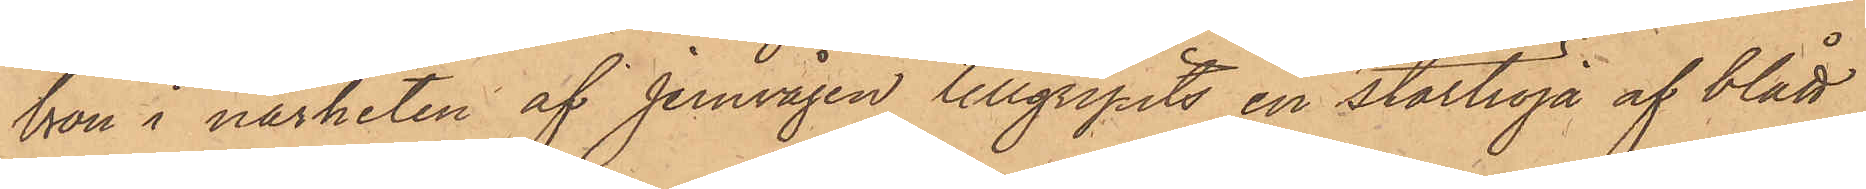bron i närheten af jernvågen tillgripits en stortröja af blått
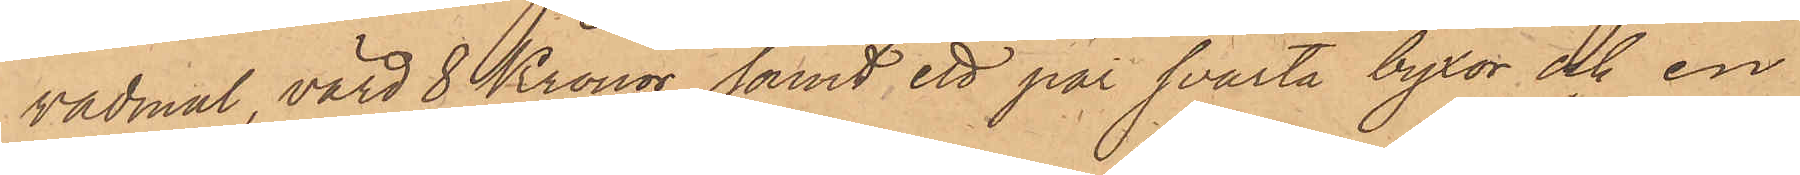vadmal, värd 8 Kronor samt ett par svarta byxor och en
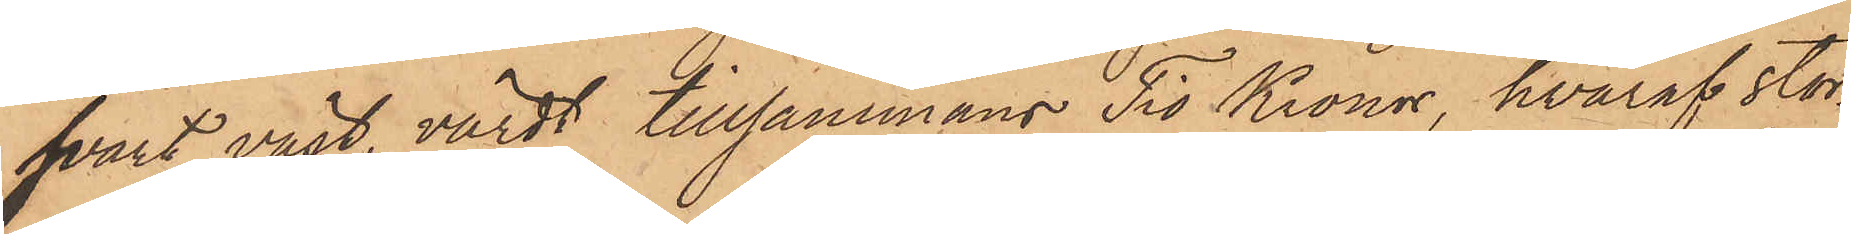svart väst, värdt tillsammans Tio Kronor, hvaraf stor¬
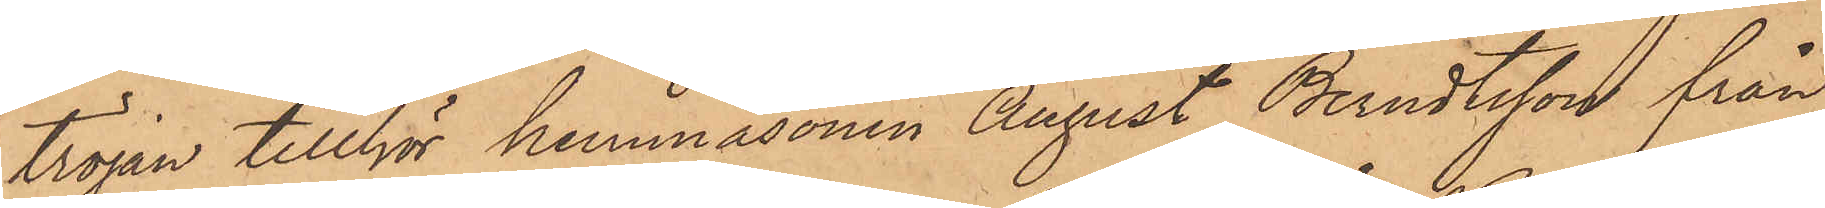tröjan tillhör hemmasonen August Berndtsson från
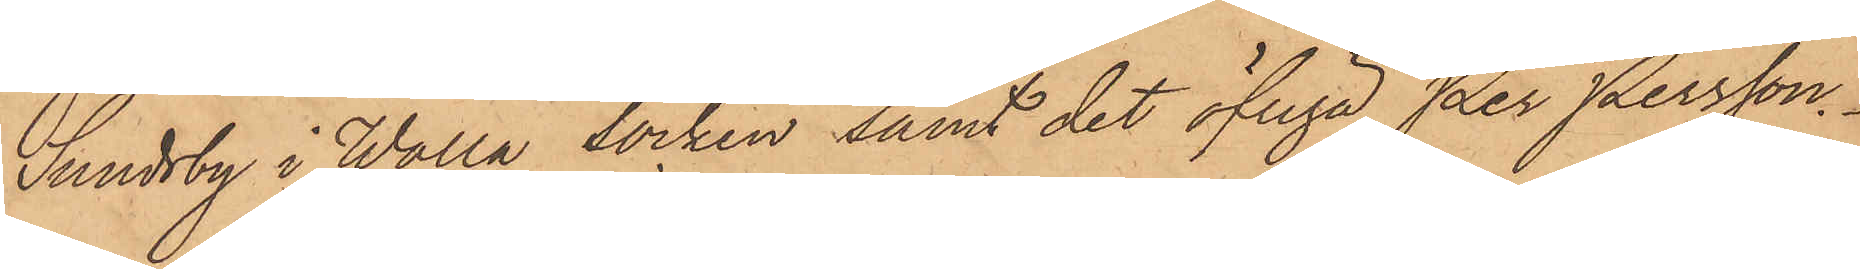Sundsby i Walla socken samt det öfriga Per Persson.
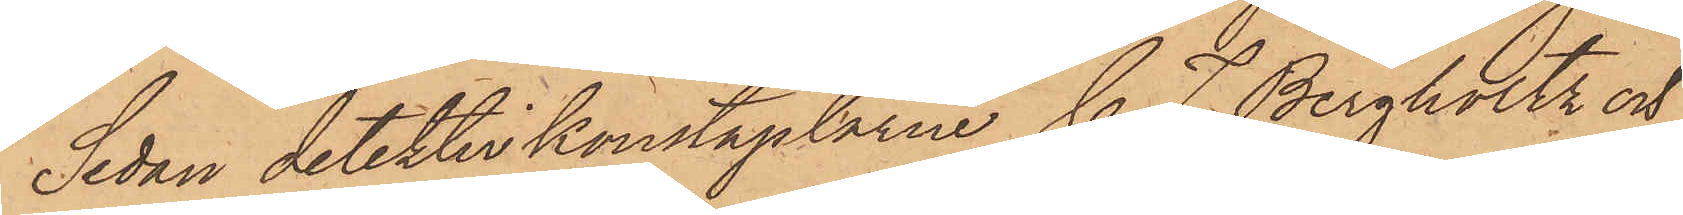Sedan detektivkonstaplarne C. F. Bergholtz och
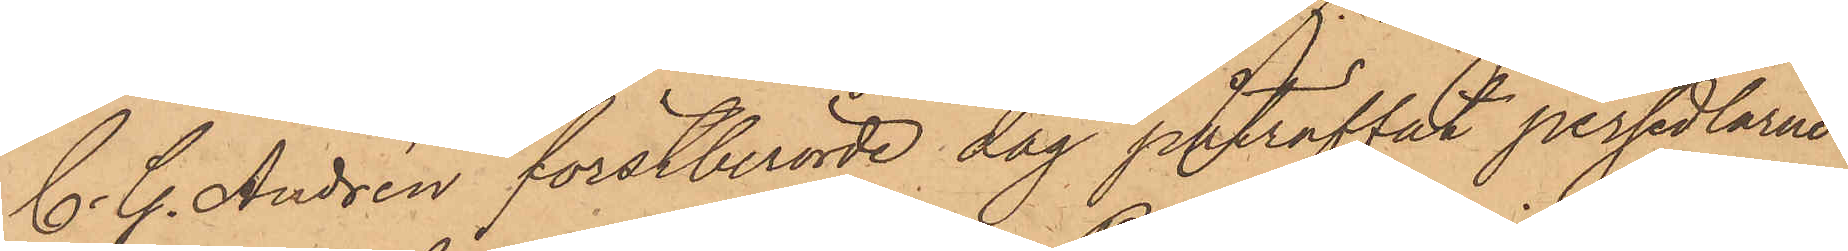C. G. Andrén förstberörde dag påträffat persedlarne
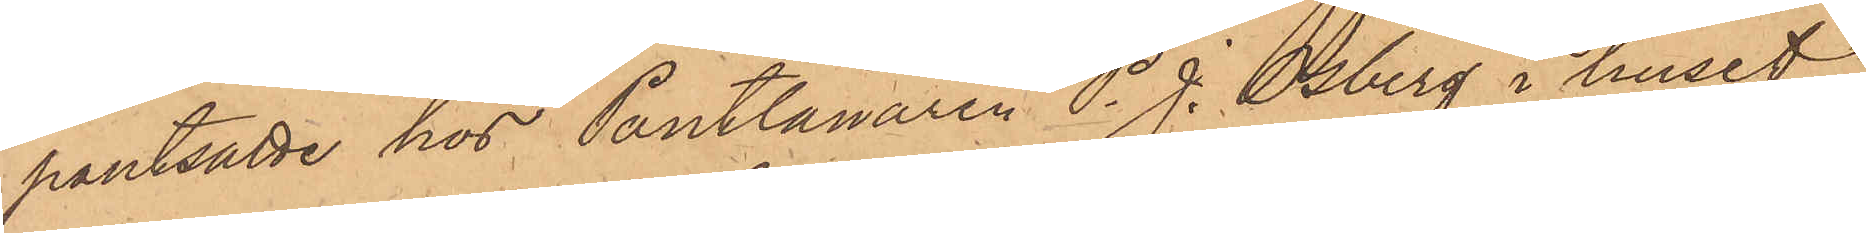pantsatte hos Pantlånaren P. J. Osberg i huset
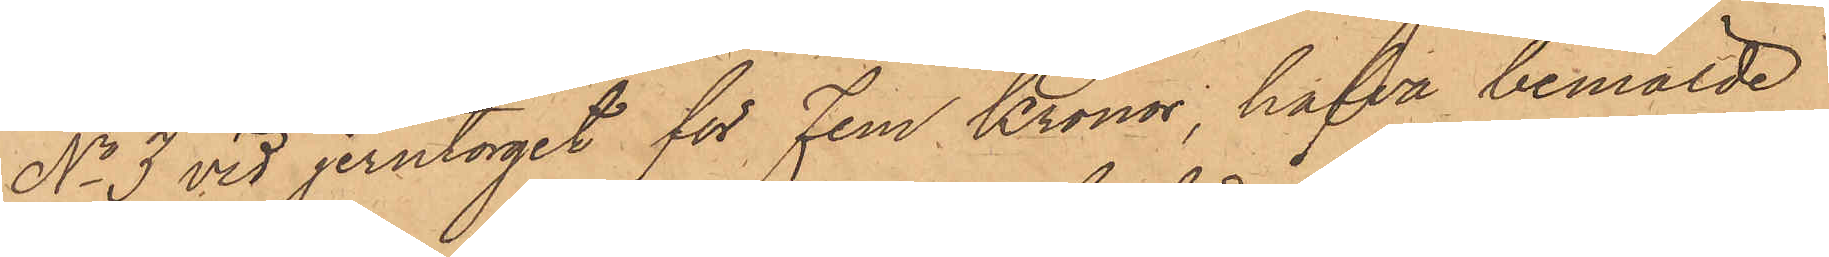No 3 vid jerntorget för Fem Kronor, hafva bemälde
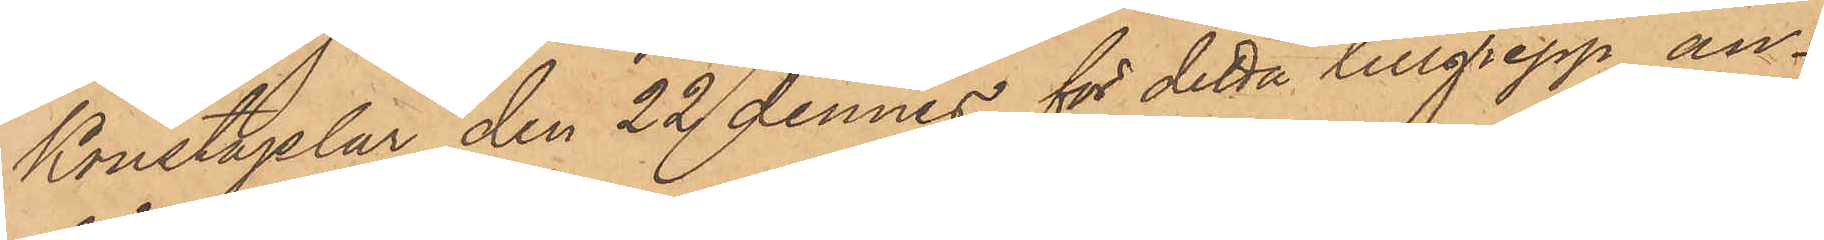Konstaplar den 22 dennes för detta tillgrepp an¬
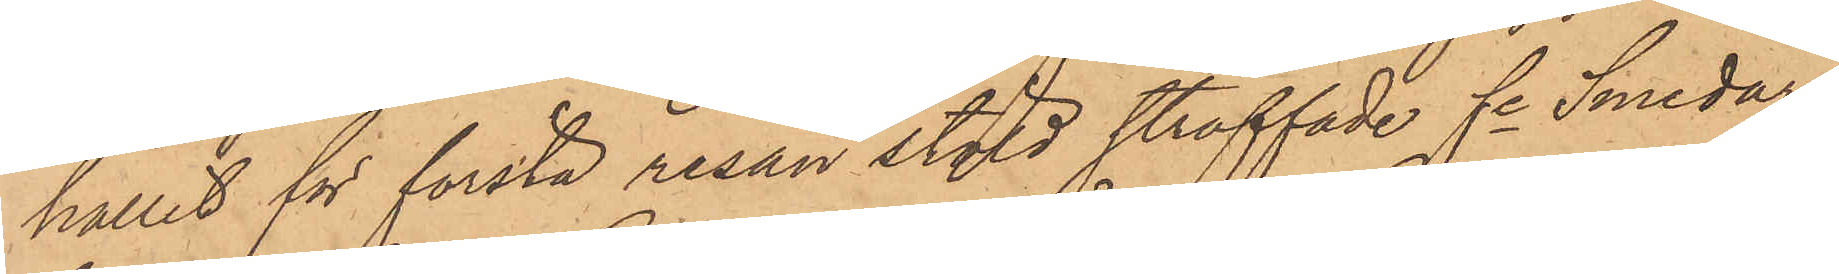hållit för första resan stöld straffade fre Smedar¬
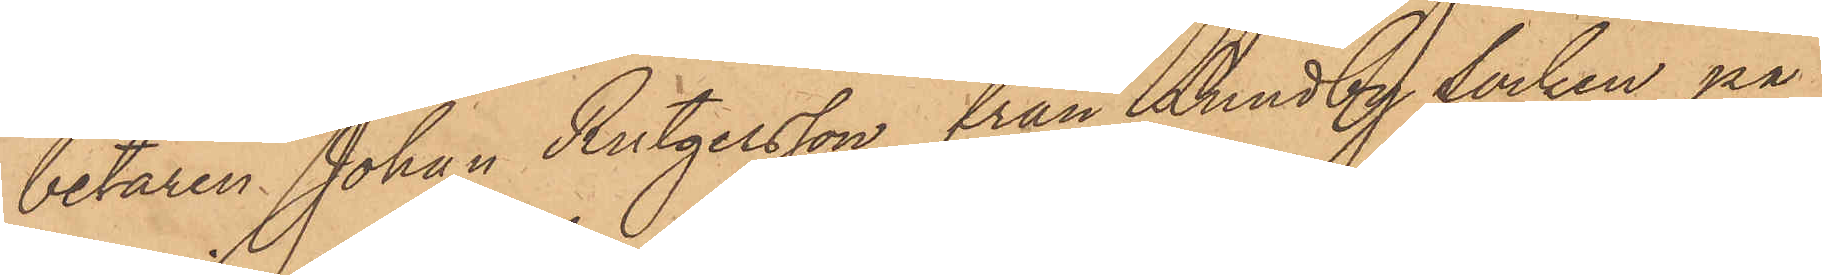betaren Johan Rutgersson från Lundby socken på
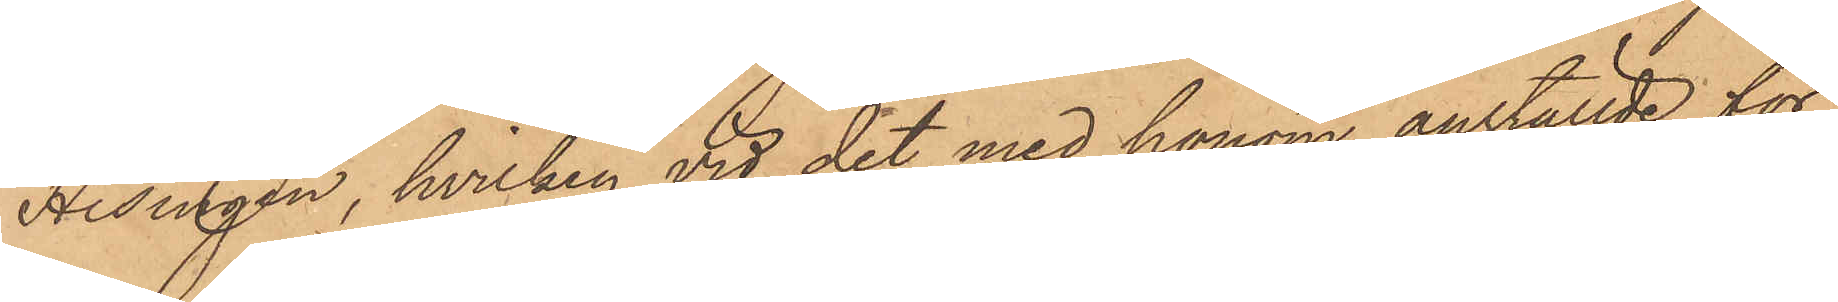Hisingen, hvilken vid det med honom anställde för¬
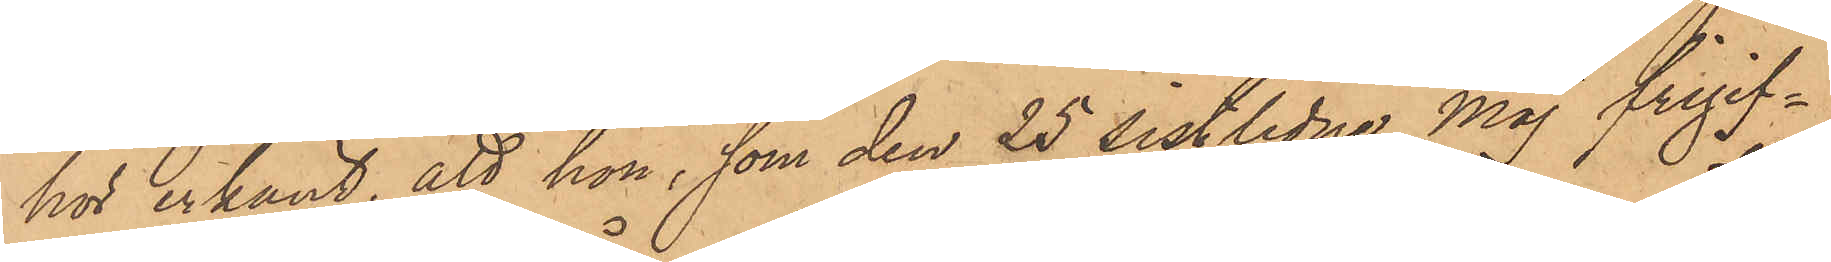hör erkänt, att han, som den 25 sistlidne Maj frigif¬
